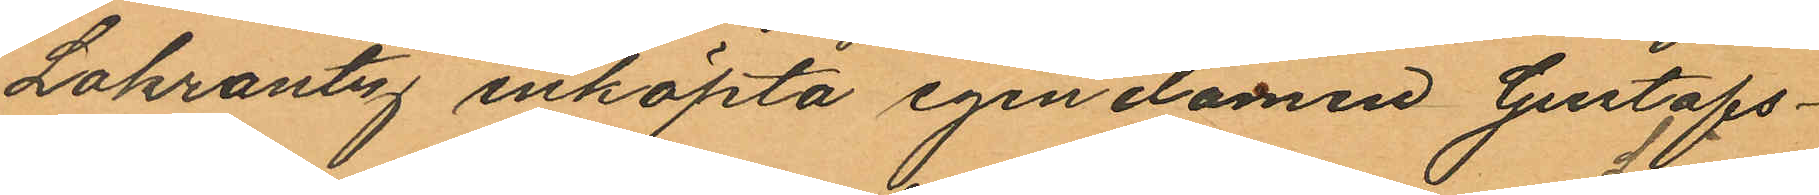Lokrantz inköpta egendomen Gustafs¬
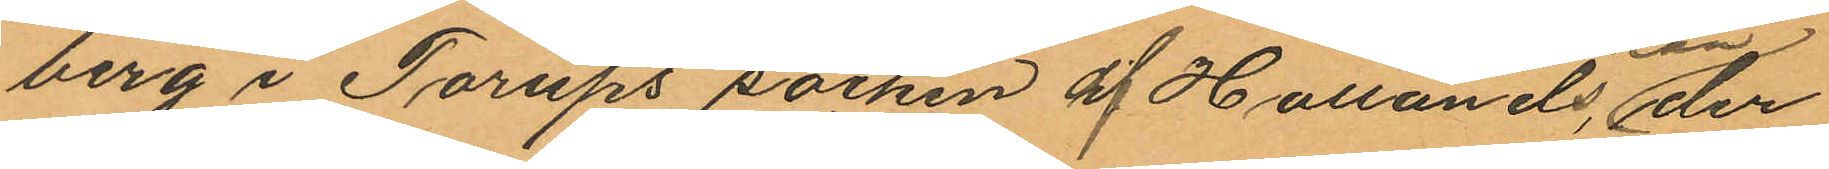berg i Torups socken af Hallands Län, der
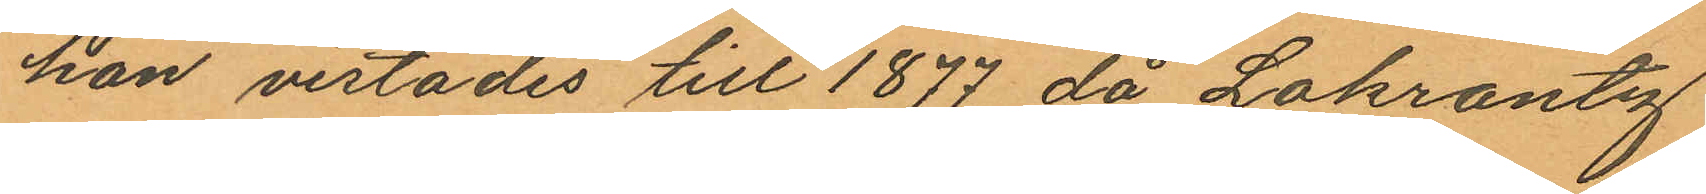hon vistades till 1877 då Lokrantz
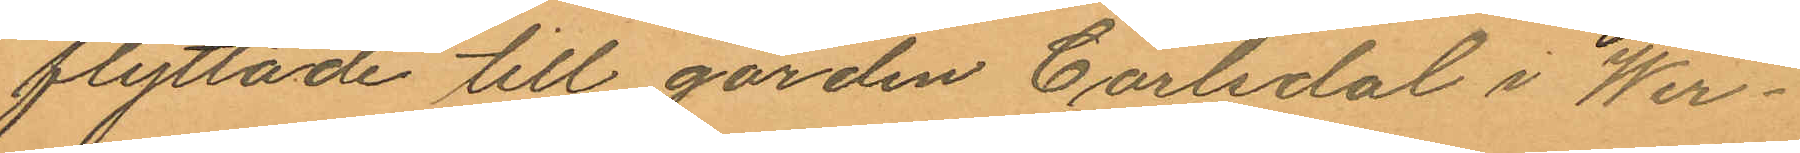flyttade till gården Carlsdal i Wer¬
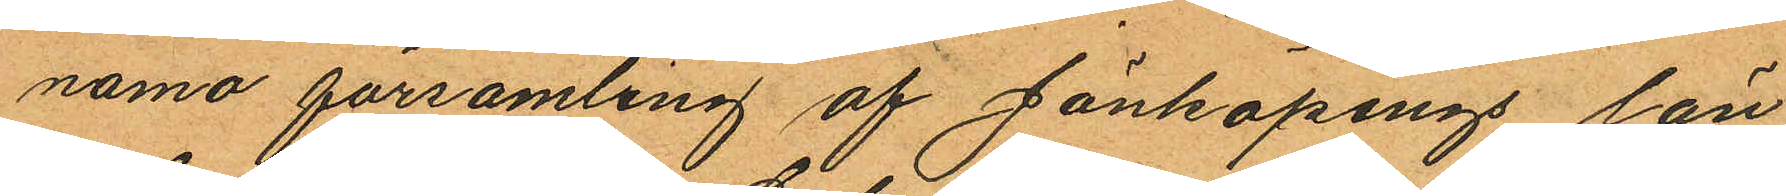namo församling af Jönköpings län
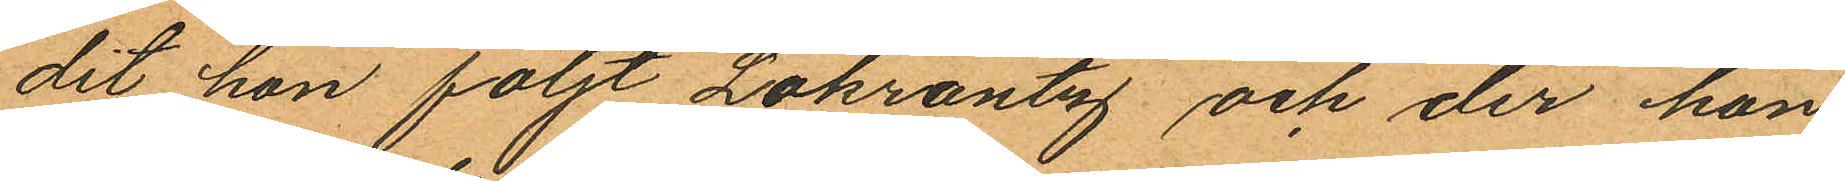dit hon följt Lokrantz och der hon
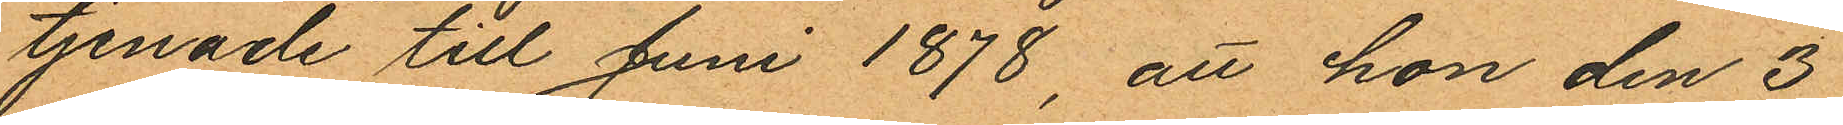tjenade till Juni 1878, att hon den 3
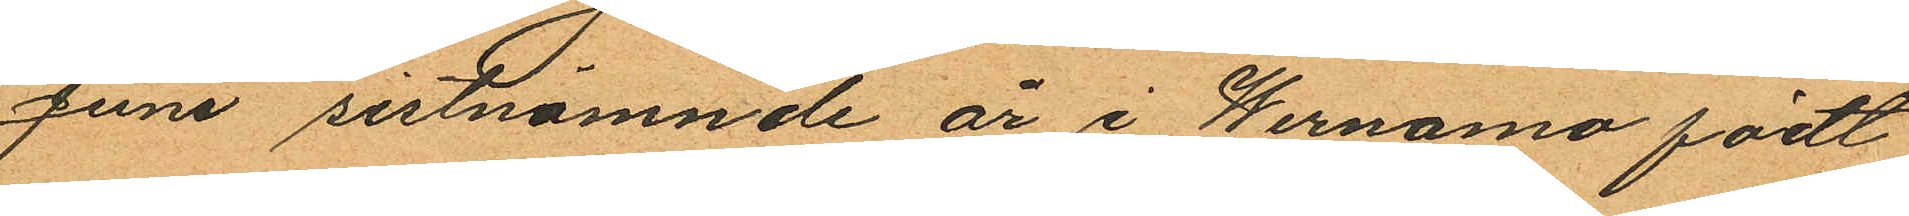Juni sistnämnde år i Wernamo födt
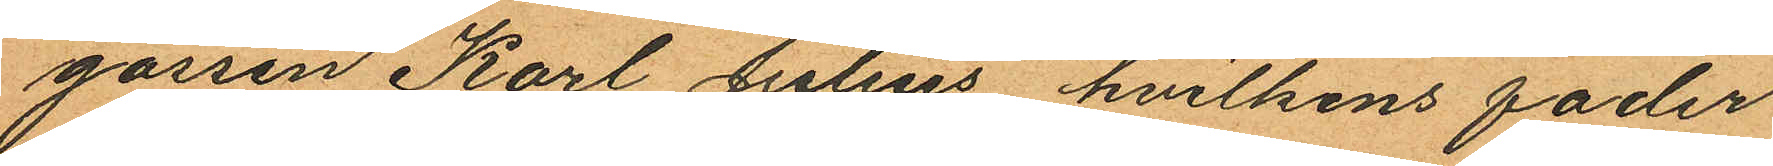gossen Karl Julius hvilkens fader
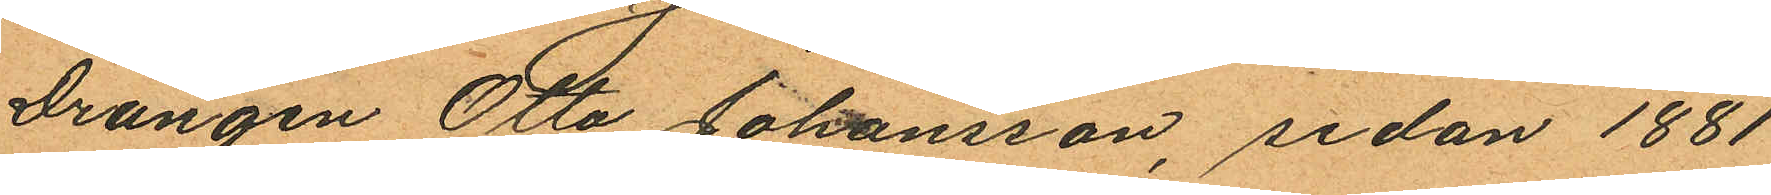Drängen Otto Johansson, sedan 1881
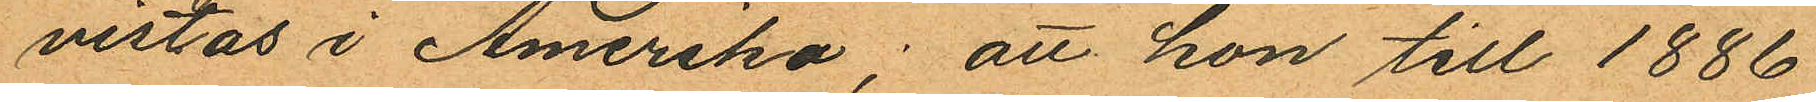vistas i Amerika: att hon till 1886
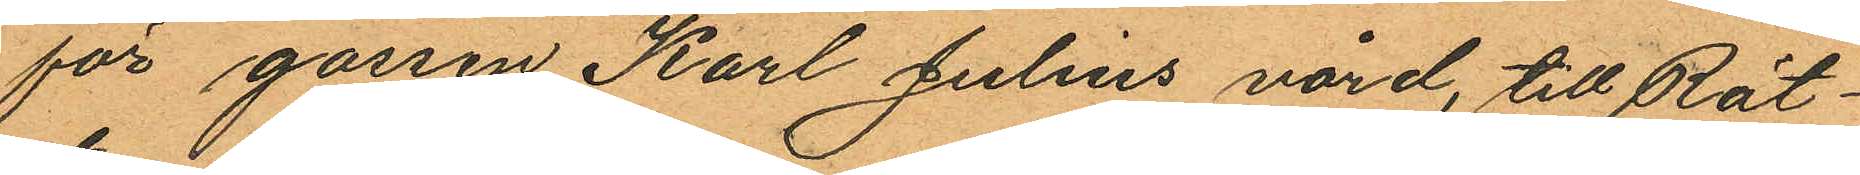för garsen Karl Julius vård, till Rät¬
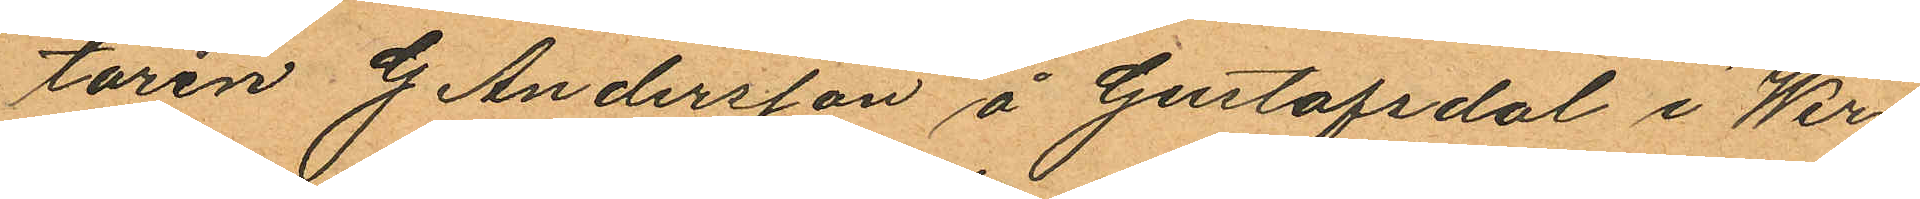taren G. Andersson å Gustafsdal i Wer¬
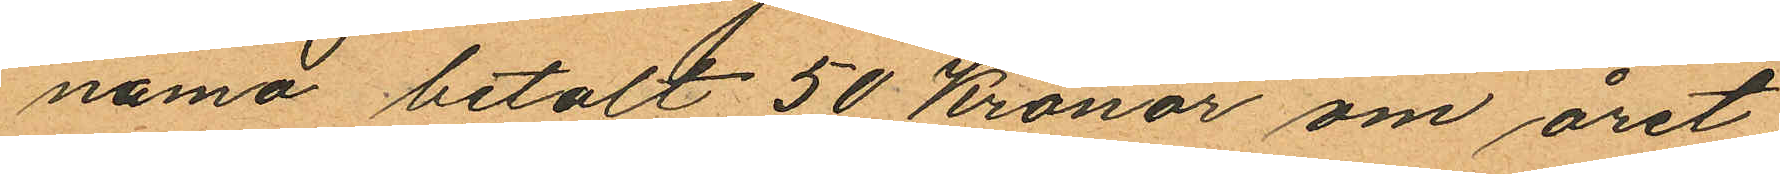namo betalt 50 Kronor om året;
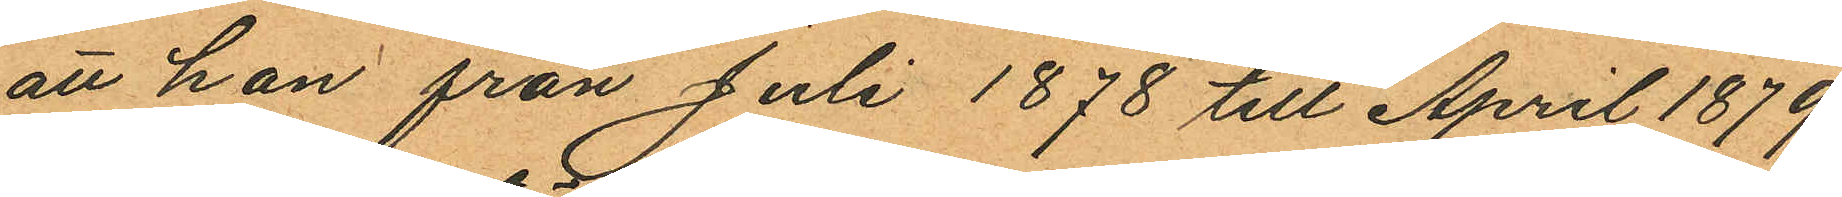att hon från Juli 1878 till April 1879
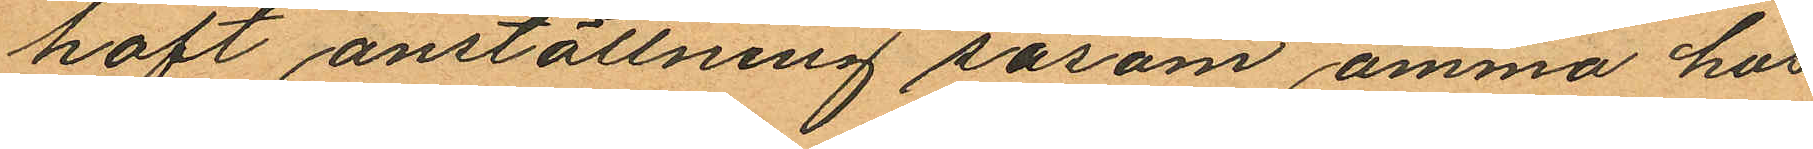haft anställning såsom amma hos
